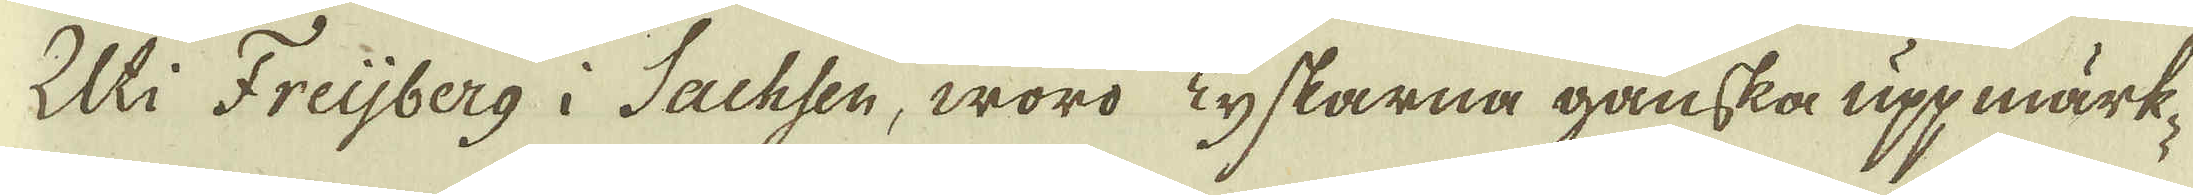Uti Freijberg i Sachsen, woro Tyskarna ganska uppmärk-
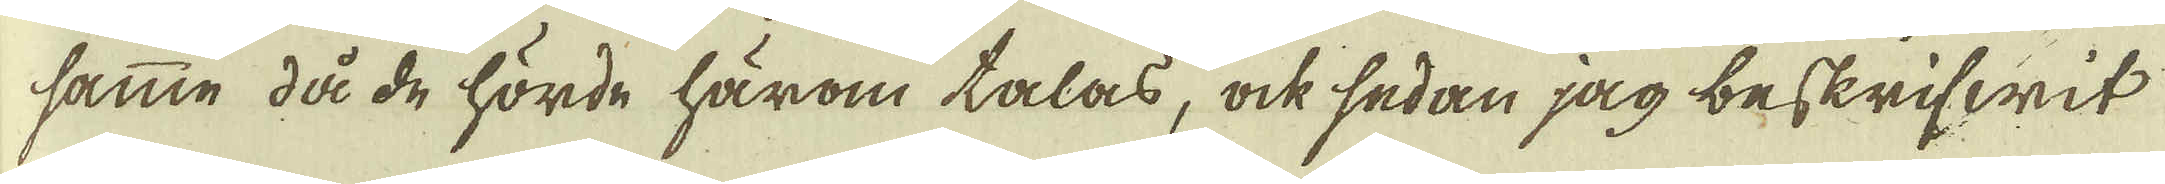samme då de hörde härom talas, ock sedan jag beskrifwit
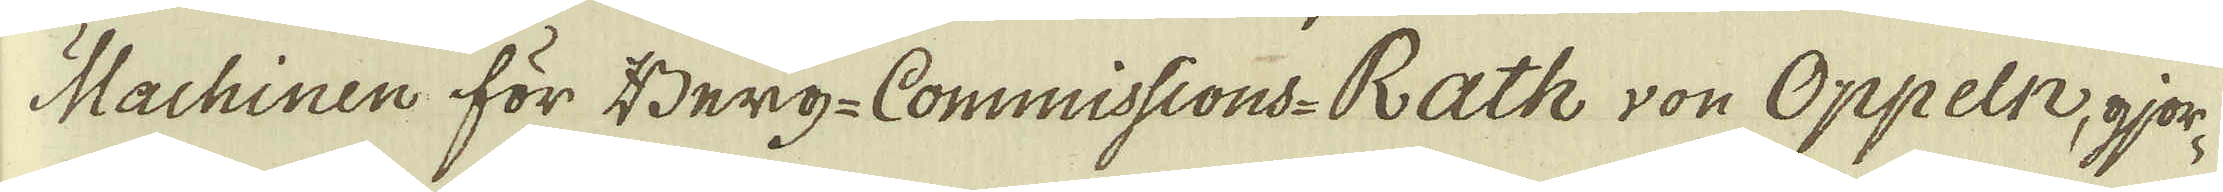Machinen för Berg-Commissions-Rath von Oppeln, gjor-
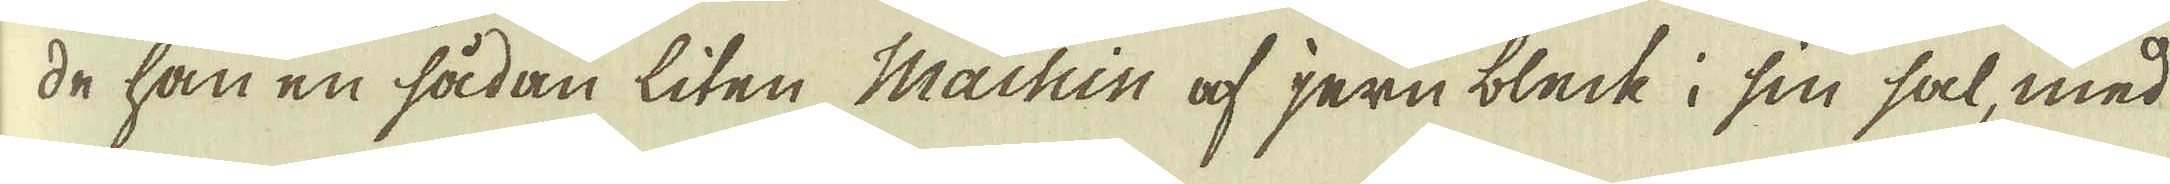de han en sådan liten Machin af jern bleck i sin sal, med
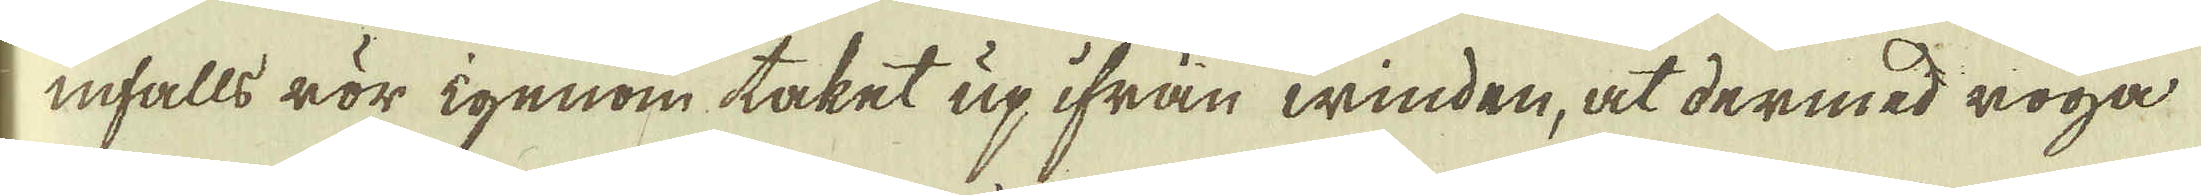infalls rör igenom taket up ifrån winden, at dermed roga
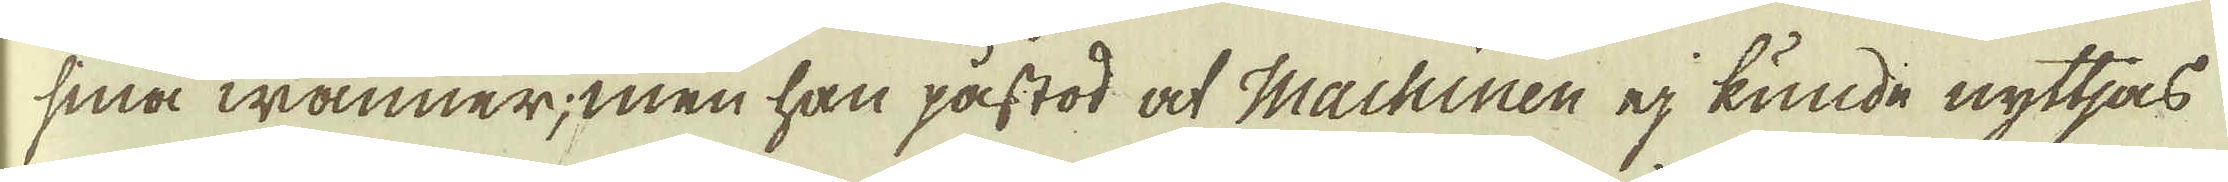sina wänner; men han påstod at Machinen ej kunde nyttjas
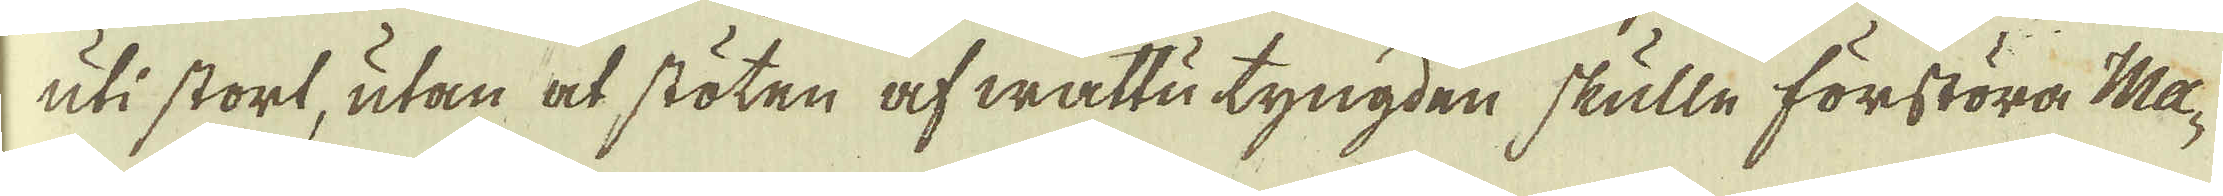uti stort, utan at stöten af wattu tyngden skulle förstöra Ma-
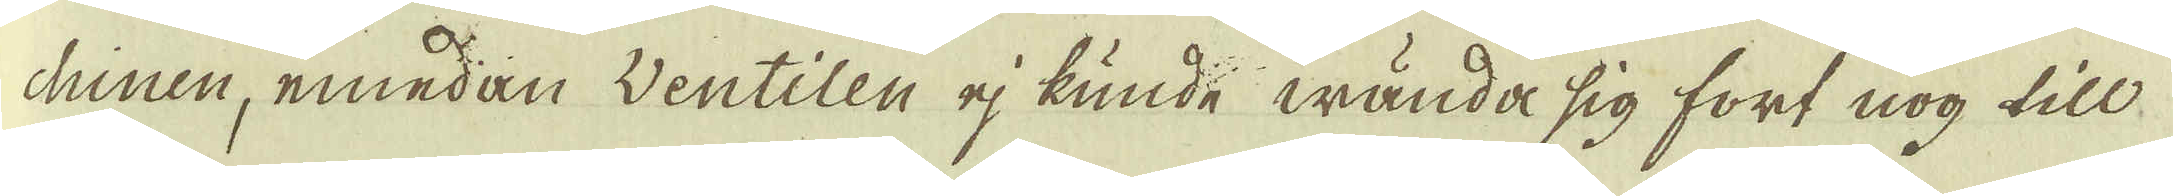chinen, emedan Wentilen ej kunde wända sig fort nog till
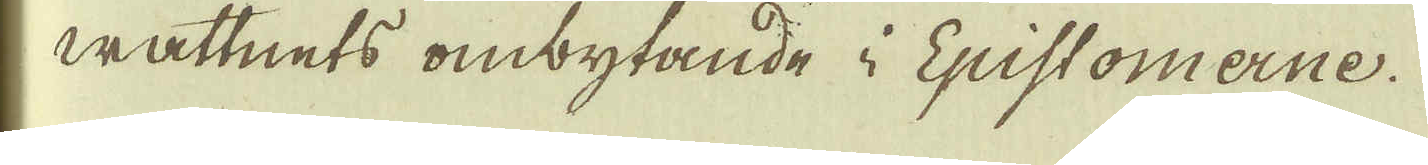wattnets ombytande i Epistomerne.
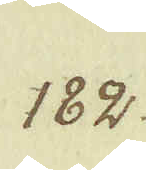182.
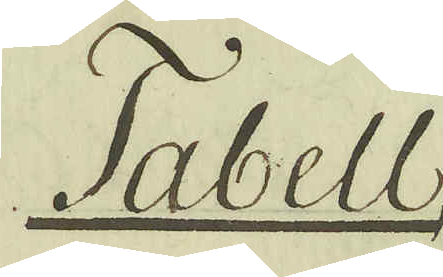Tabell
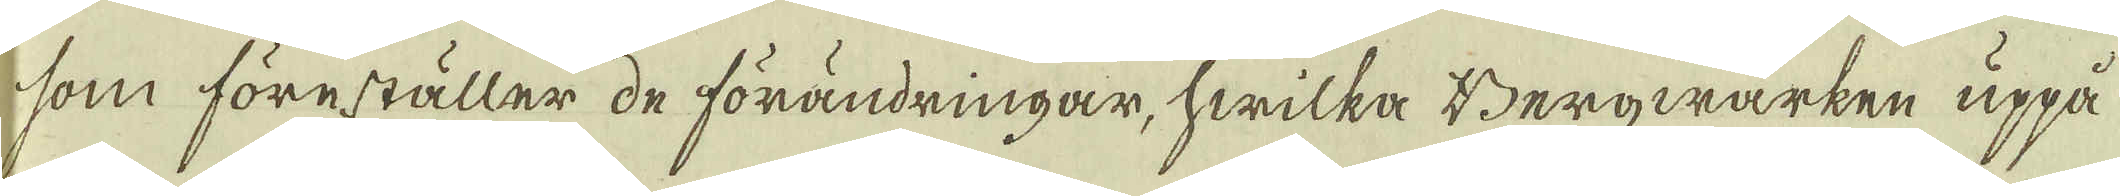som föreställer de förändringar, hwilka Bergwärken uppå
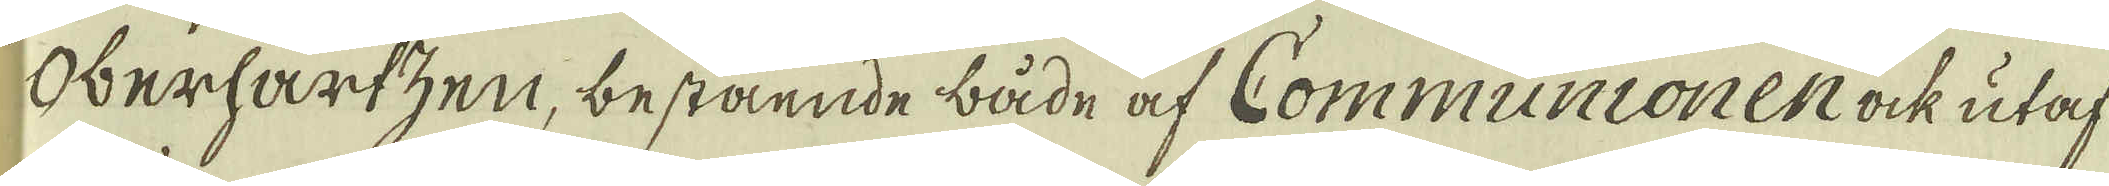Oberhartzen, bestående både af Communionen ock utaf
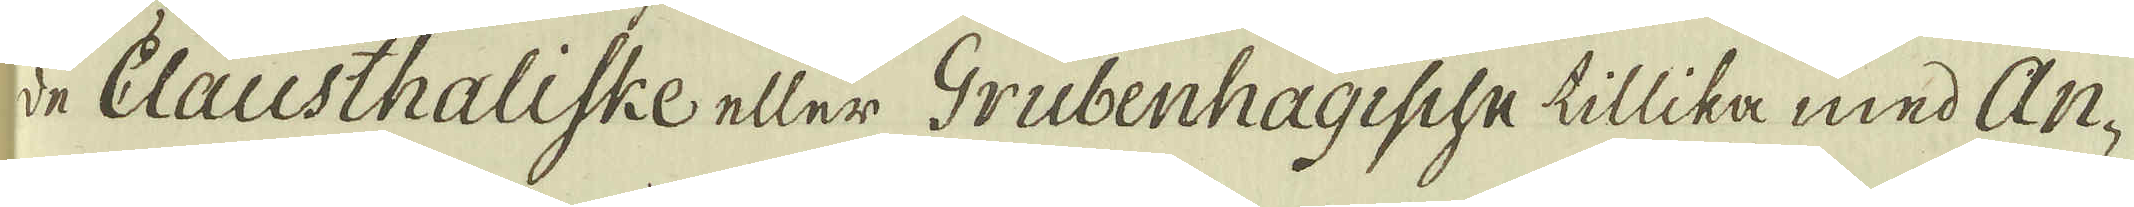de Clausthaliske eller Grubenhagische tillika med An-
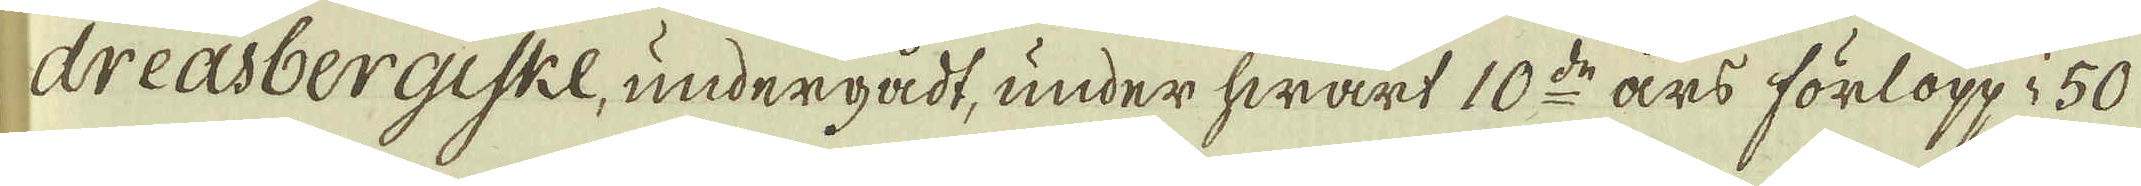dreasbergiske, undergådt, under hwart 10:de års förlopp i 50.
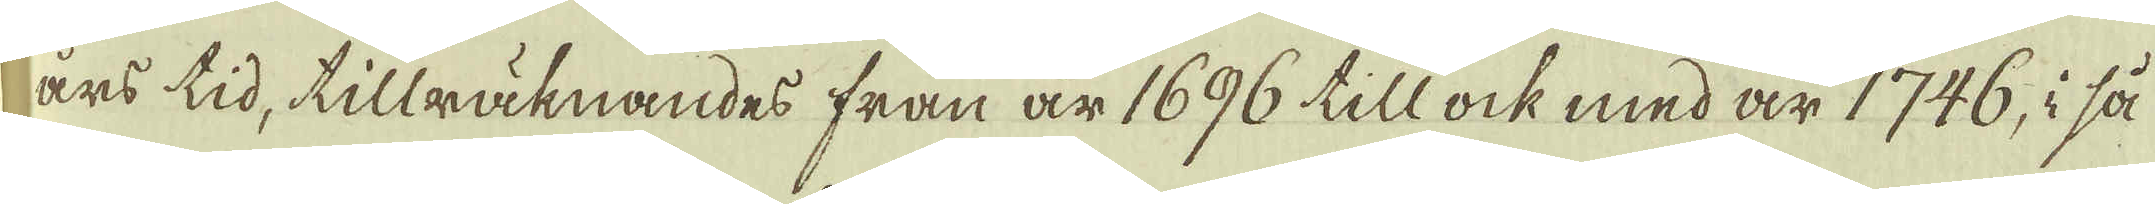års tid, tillräknandes från är 1696 till ock med är 1746, i så
